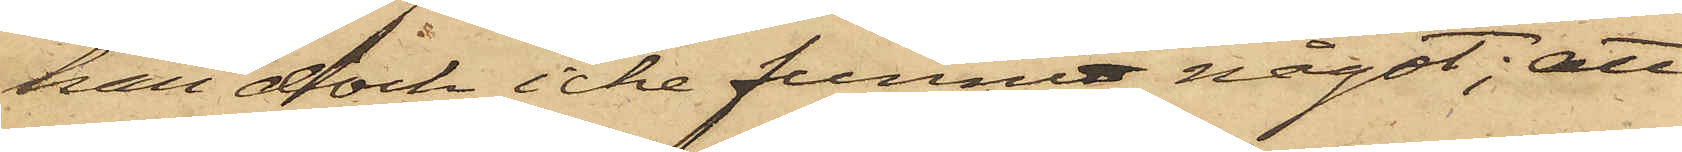han dock icke funnit något; att
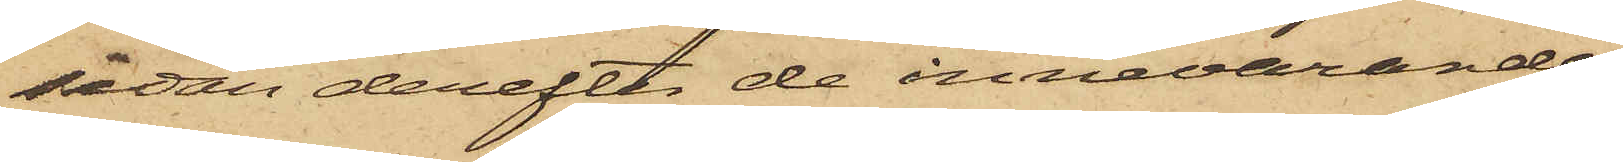sedan derefter de innevarande
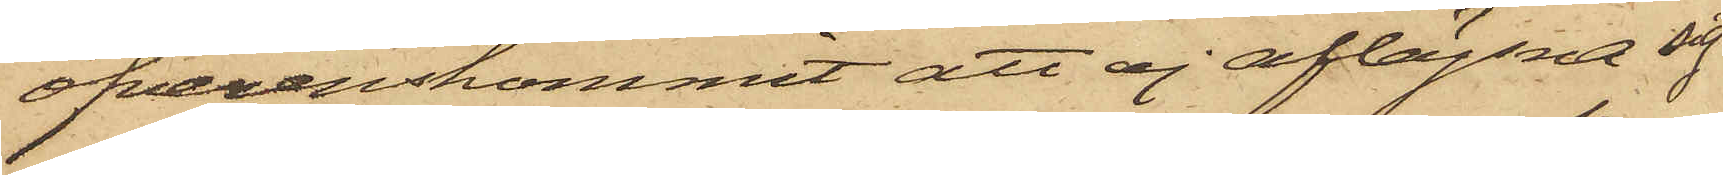öfverenskommit att ej aflägsna sig
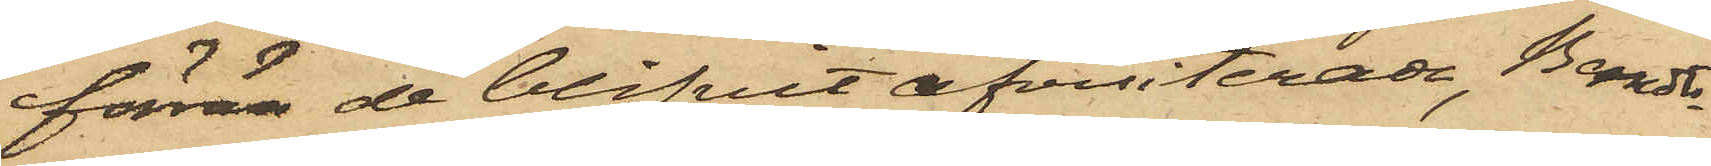förrän de blifvit afvisiterade, Berndts¬
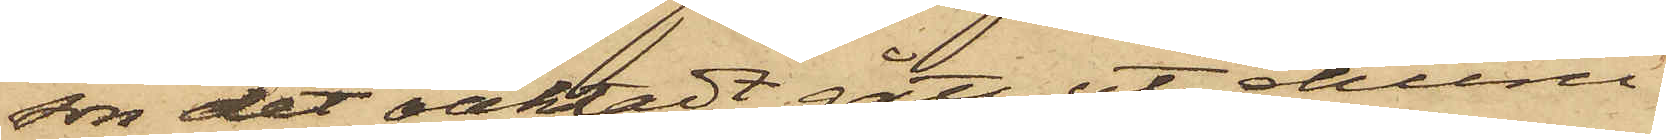son det oaktadt gått ut, ehuru
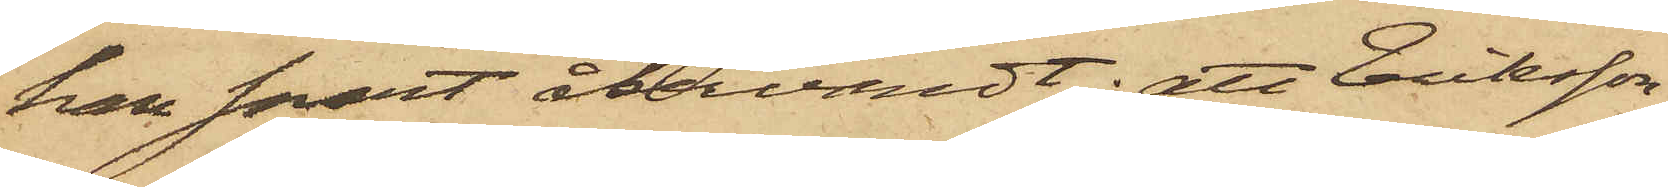han snart återvändt; att Eriksson
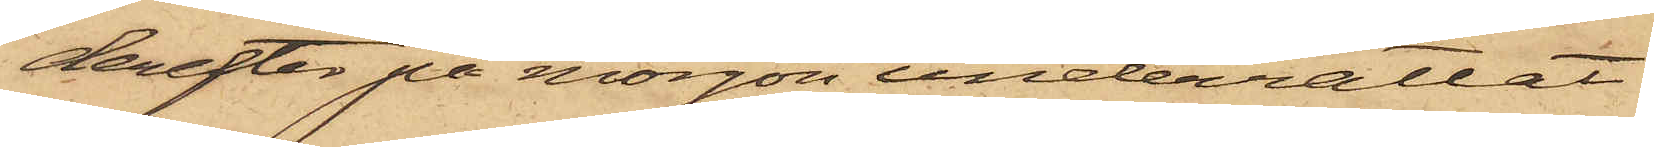derefter på morgon underrättat
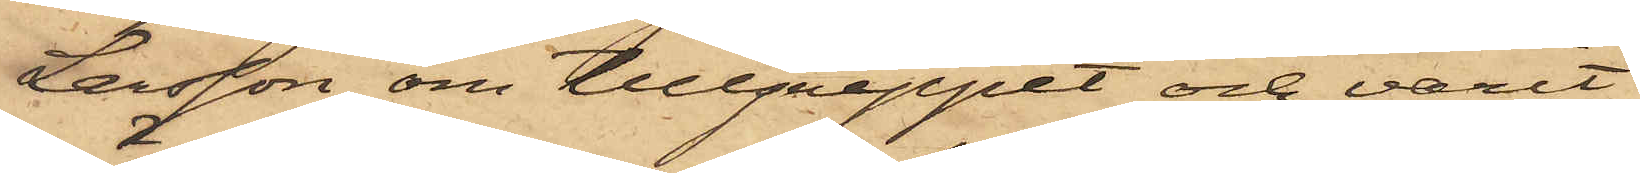Larsson om tillgreppet och varit
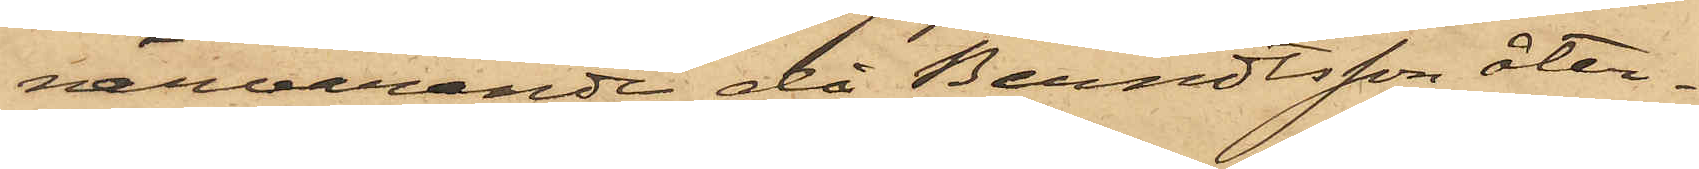närvarande då Berndtsson åter¬
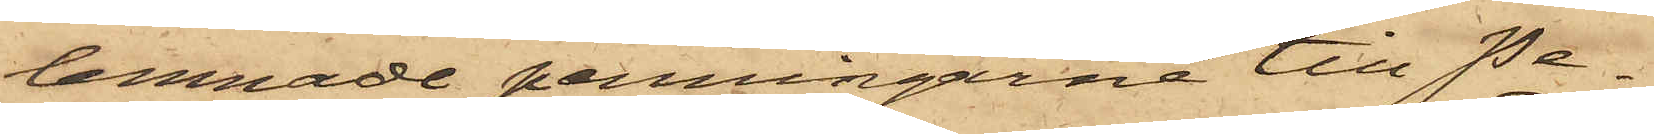lemnade penningarne till Pe¬
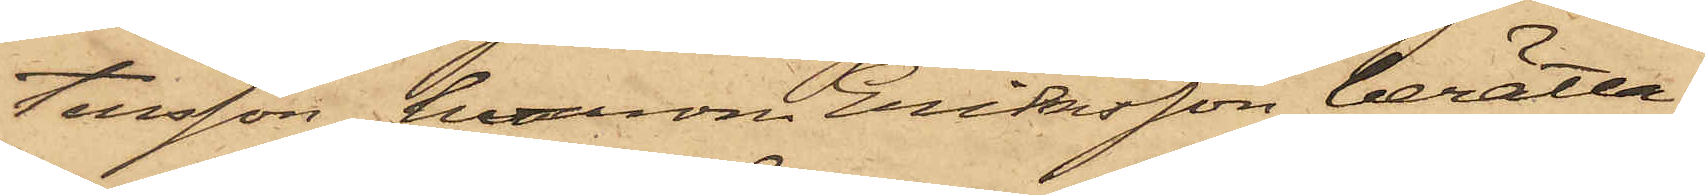tersson, hvarom Eriksson berätta¬
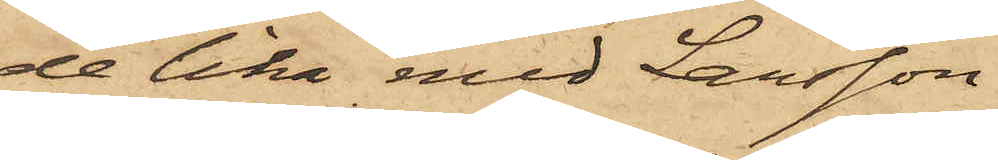de lika med Larsson
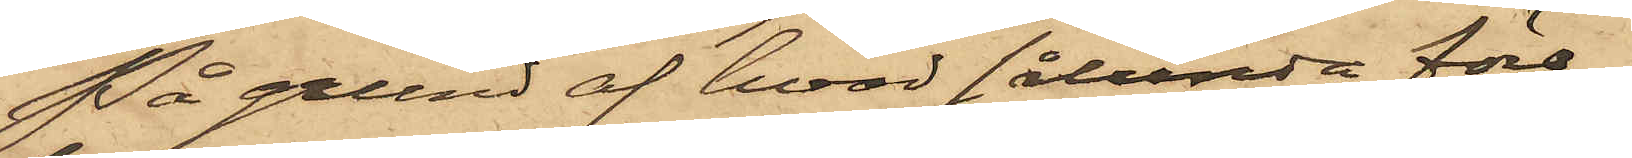På grund af hvad sålunda före¬
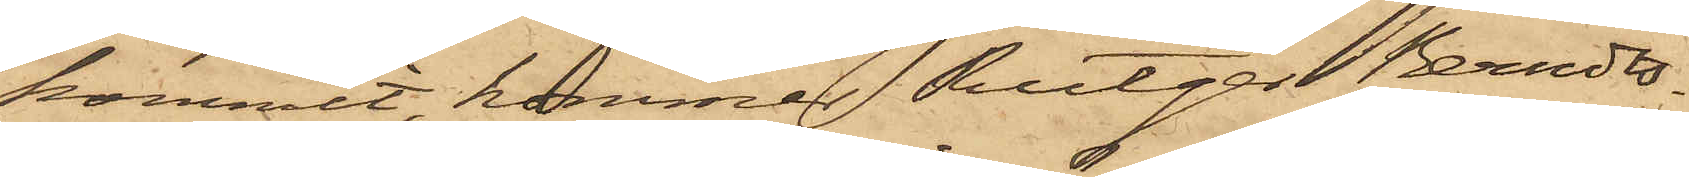kommit, kommer Rutger Berndts¬
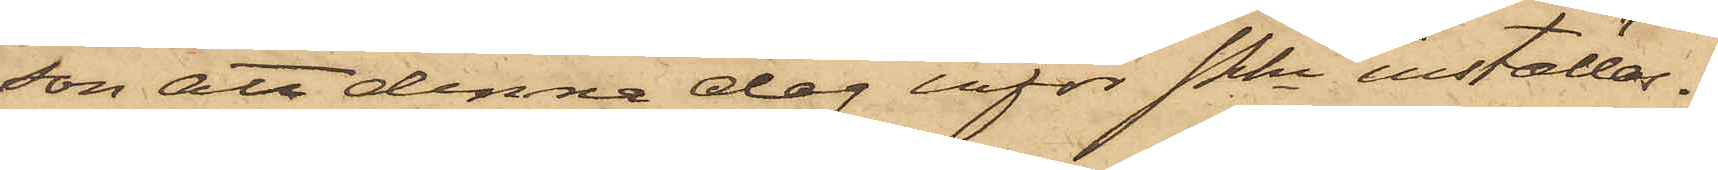son att denna dag inför Pkn inställas.
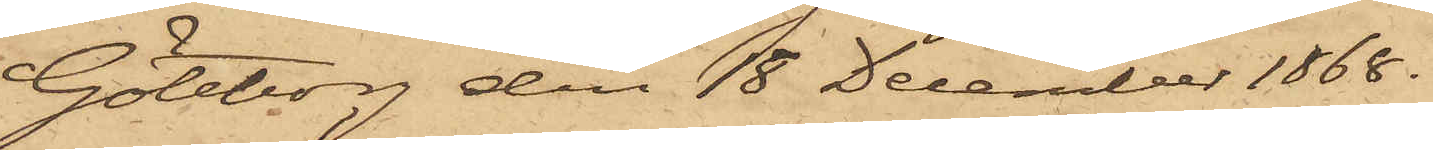Göteborg den 18 December 1868.
